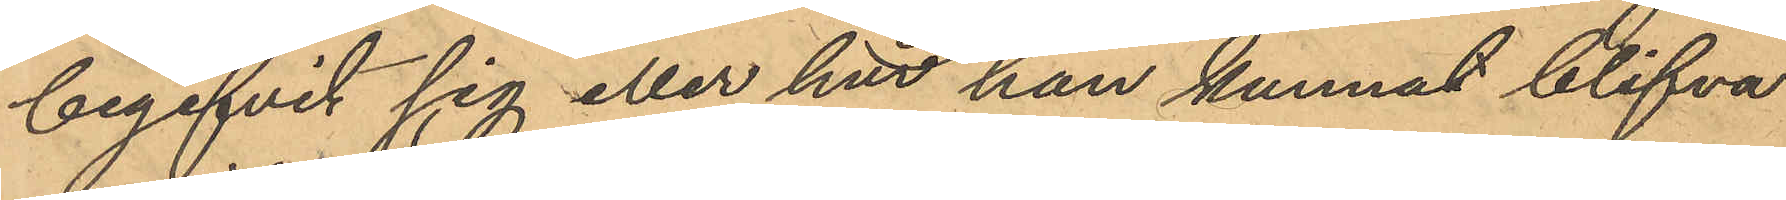begifvit sig eller hur han kunnat blifva
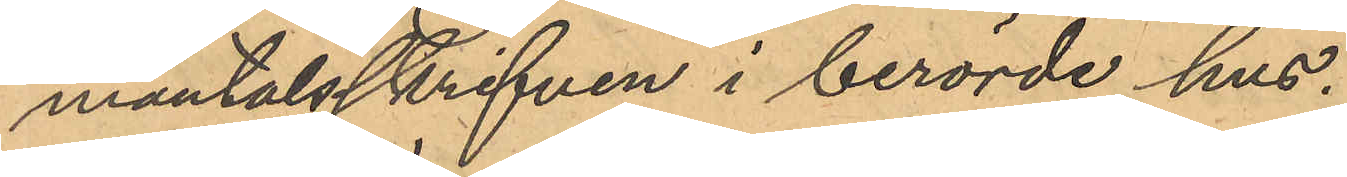mantalsskrifven i berörde hus.
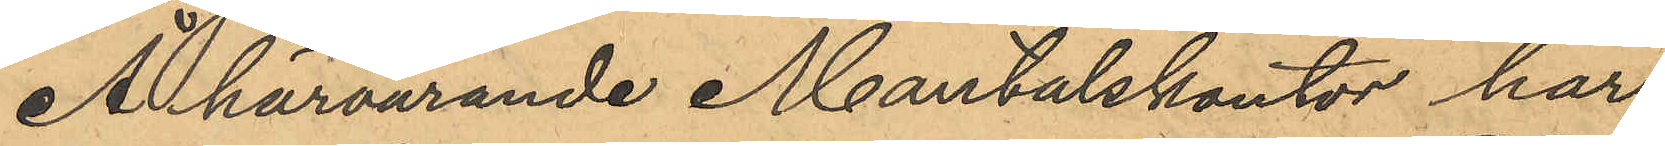Å härvarande Mantalskontor har
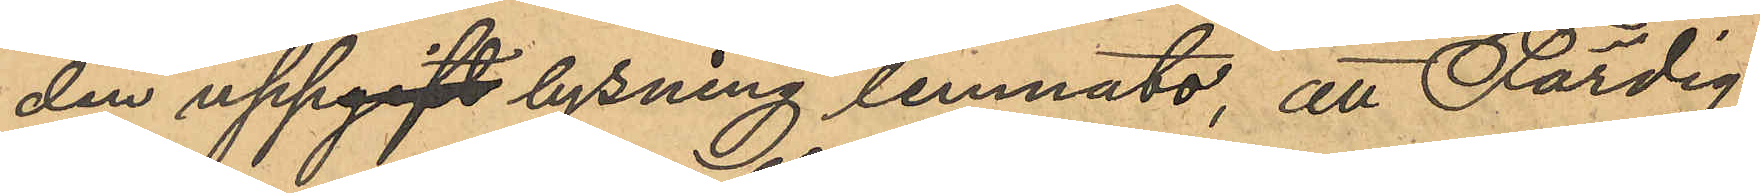den uppgiftlysning lemnats, att Färdig,
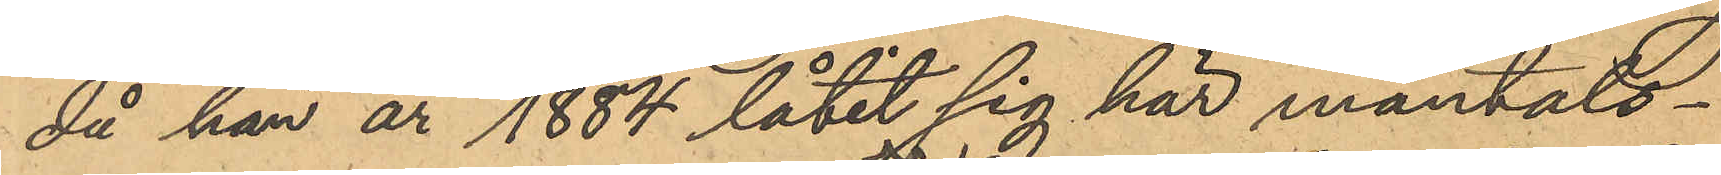då han år 1884 låtit sig här mantals¬
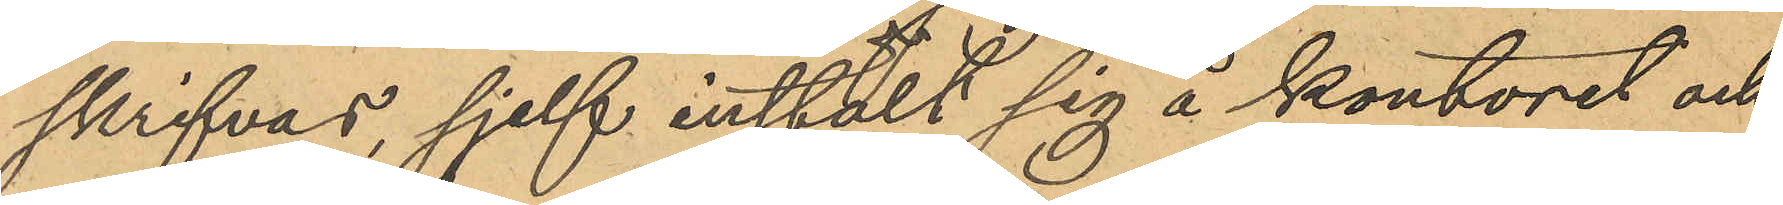skrifvas, sjelf instält sig å kontoret och
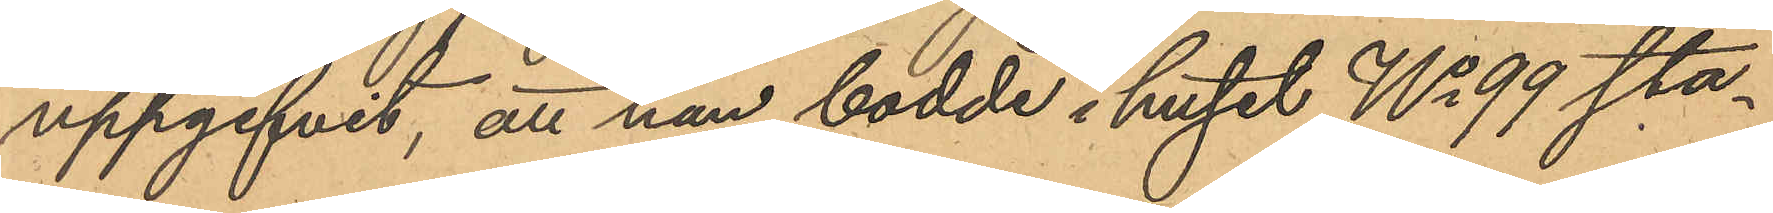uppgifvit, att han bodde i huset No 99 sta¬
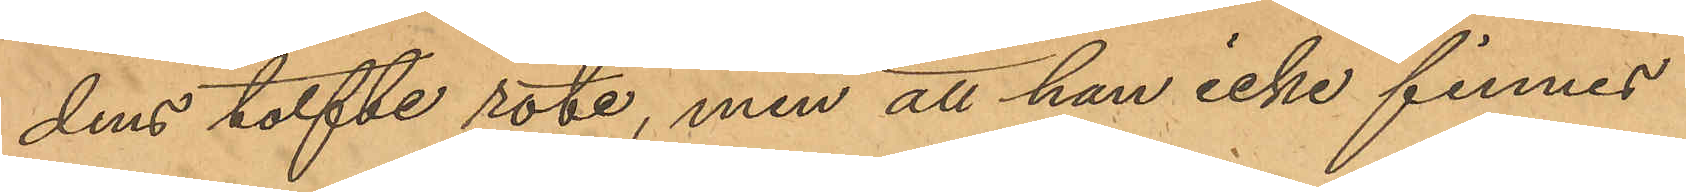dens tolfte rote, men att han icke finnes
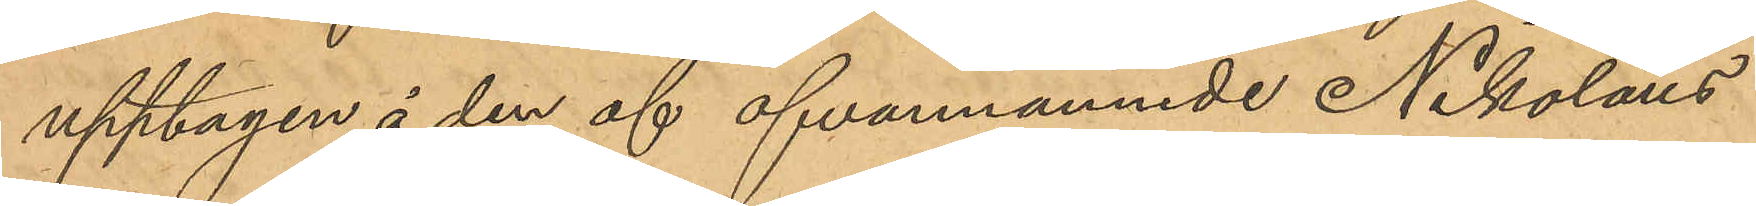upptagen å den af ofvannämnde Nikolaus
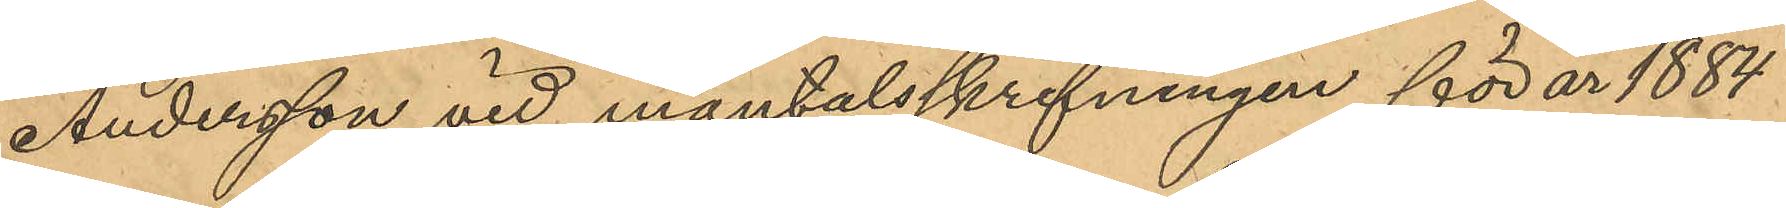Andersson vid mantalsskrifningen för år 1884
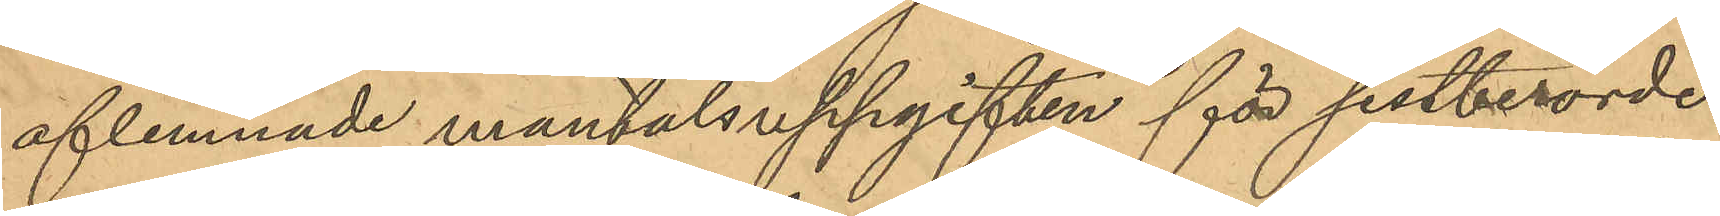aflemnade mantalsuppgiften för sistberörde
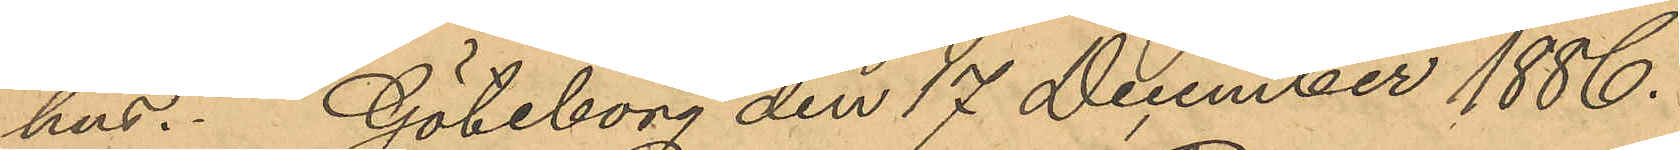hus. Göteborg den 17 December 1886.
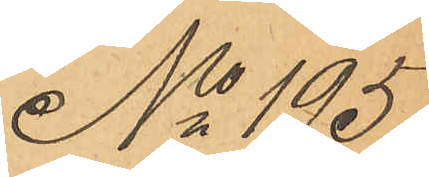No 195
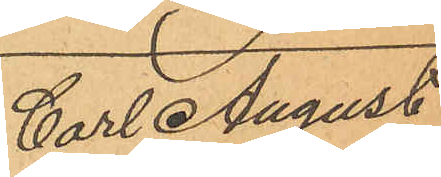Carl August
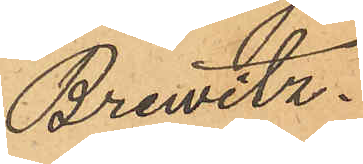Brewitz.
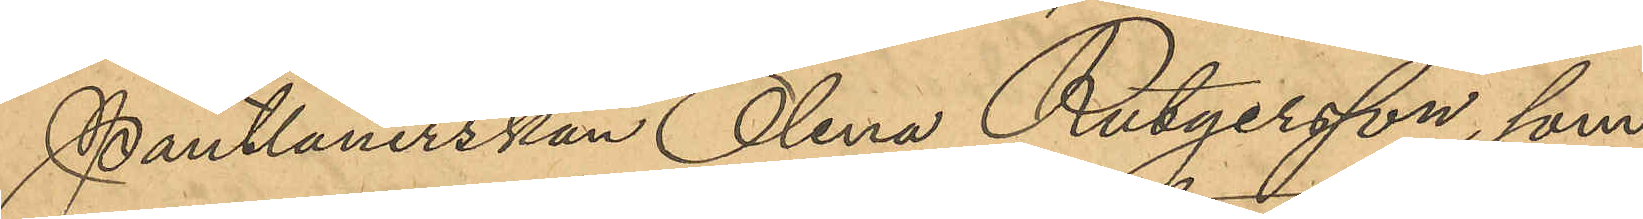Pantlånerskan Olena Rutgersson, som
